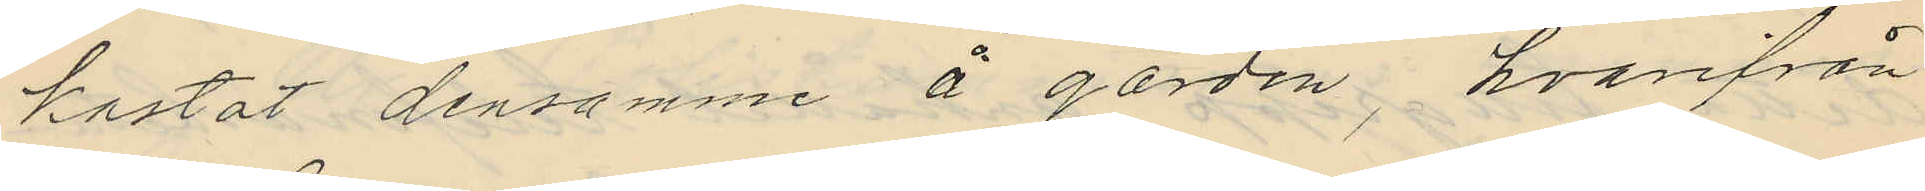kastat densamme å gården, hvarifrån
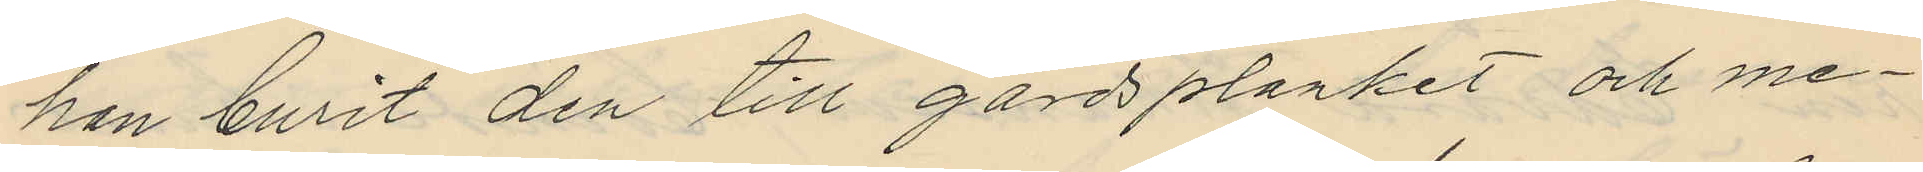han burit den till gårdsplanket och me¬
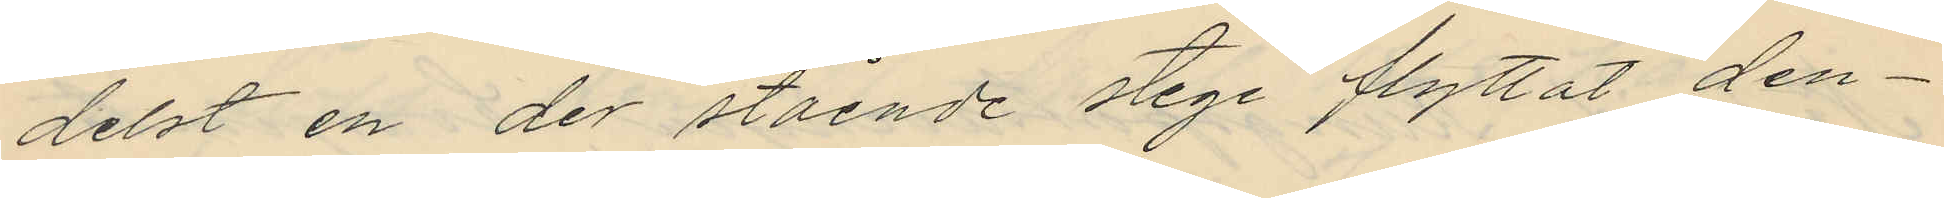delst en der stående stege flyttat den¬
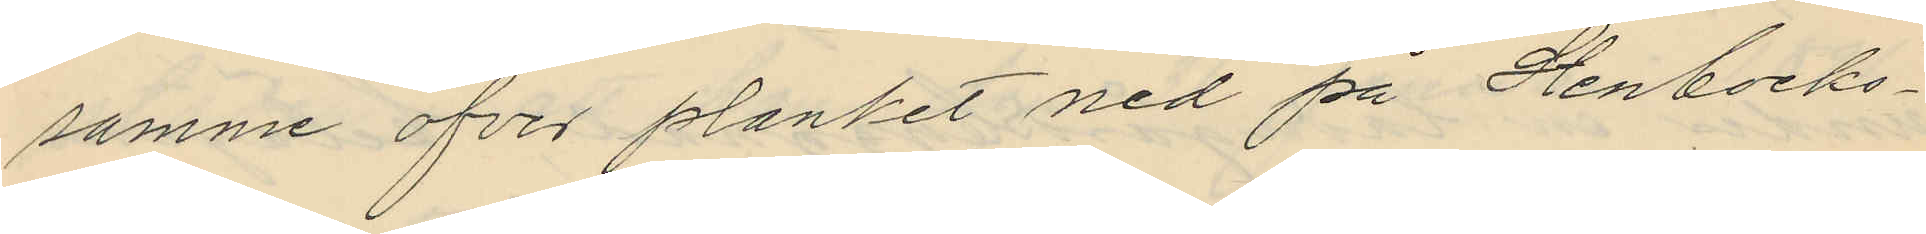samme öfver planket ned på Stenbocks¬
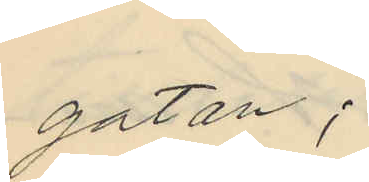gatan;
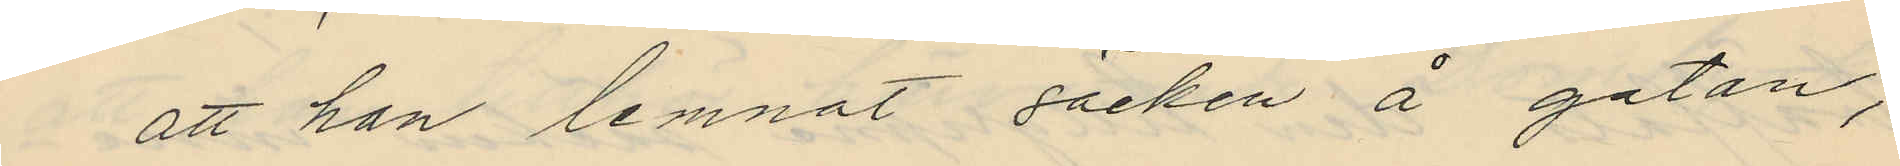att han lemnat säcken å gatan,
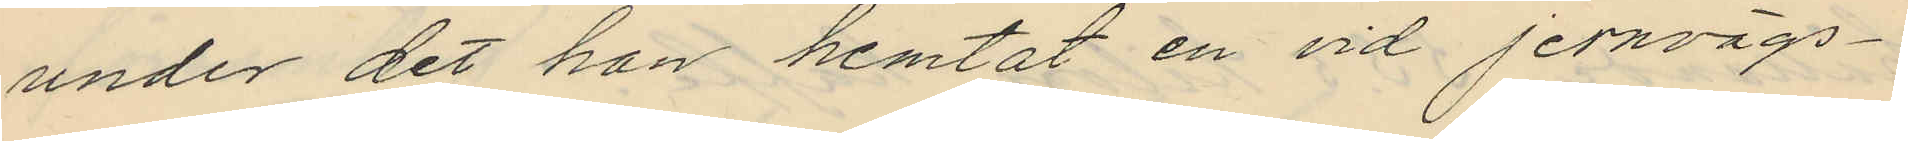under det han hemtat en vid jernvägs¬
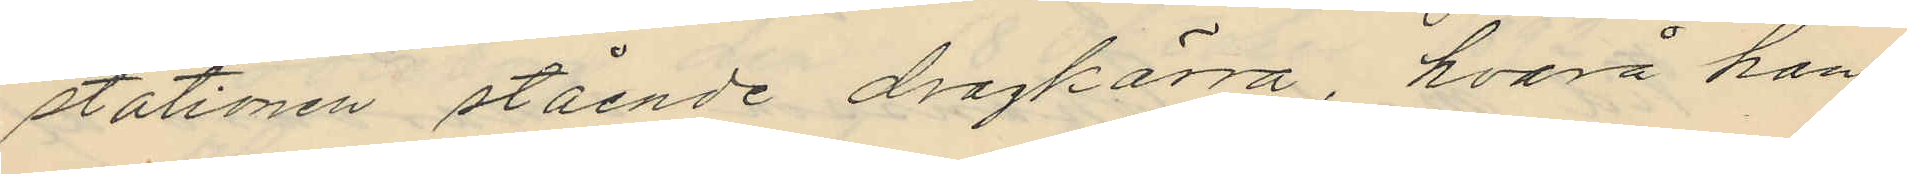stationen stående dragkärra, hvarå han
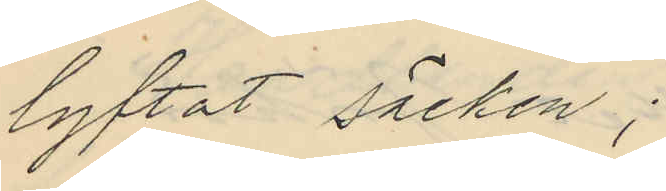lyftat säcken;
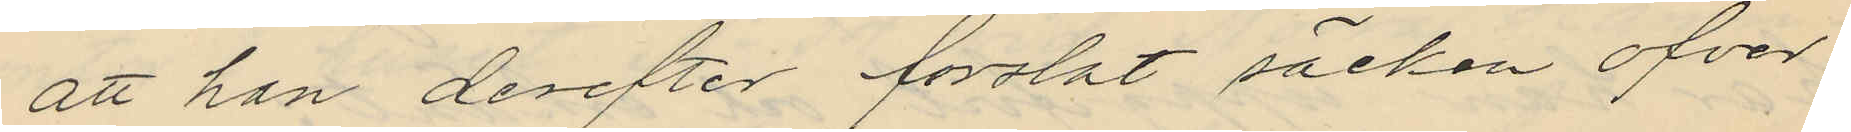att han derefter forslat säcken öfver
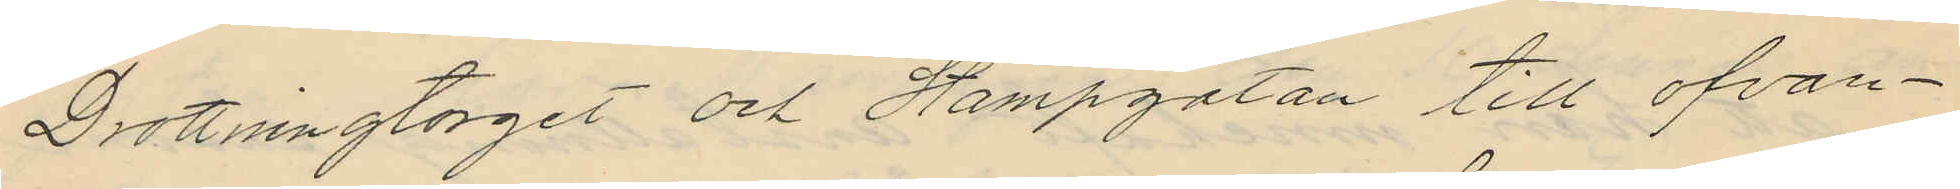Drottningtorget och Stampgatan till ofvan¬
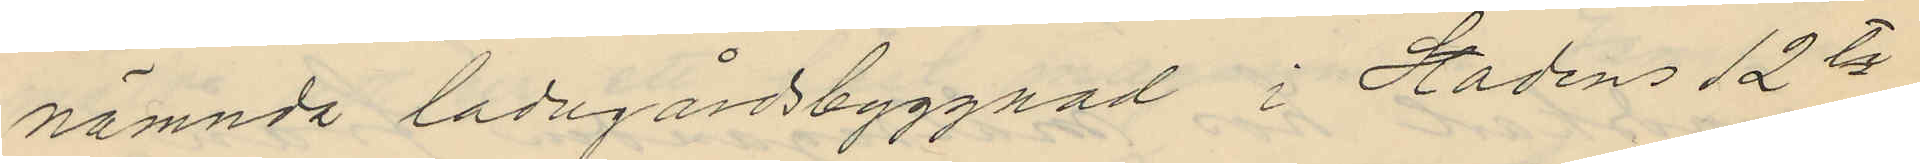nämnda ladugårdsbyggnad i Stadens 12te
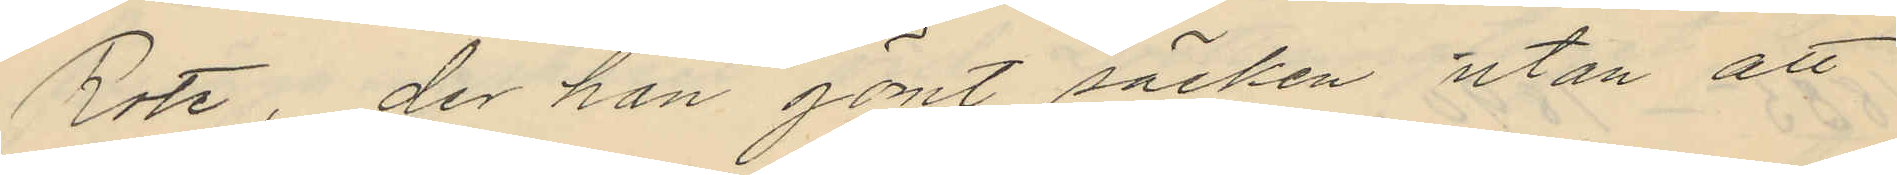Rote, der han gömt säcken utan att
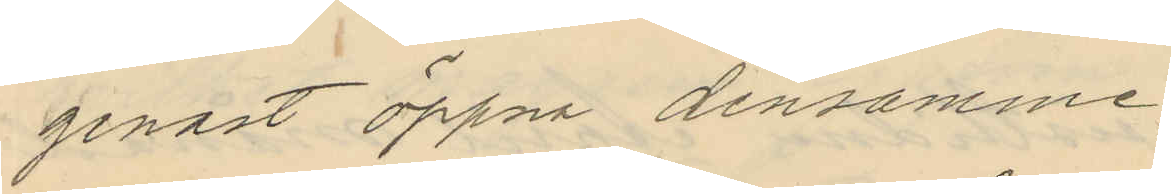genast öppna densamme;
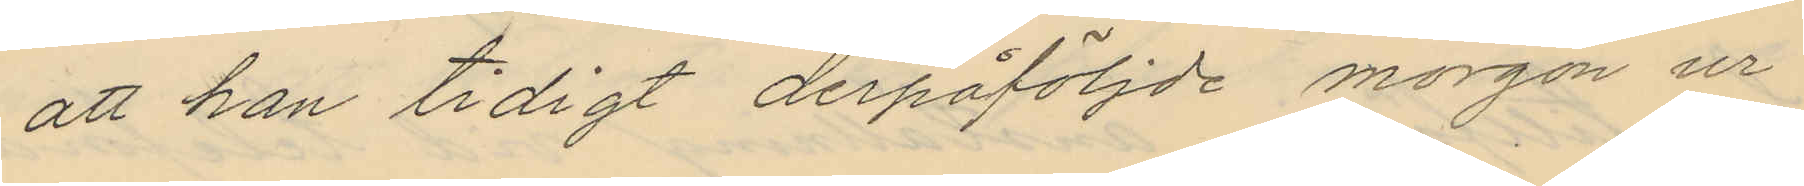att han tidigt derpåföljde morgon ur
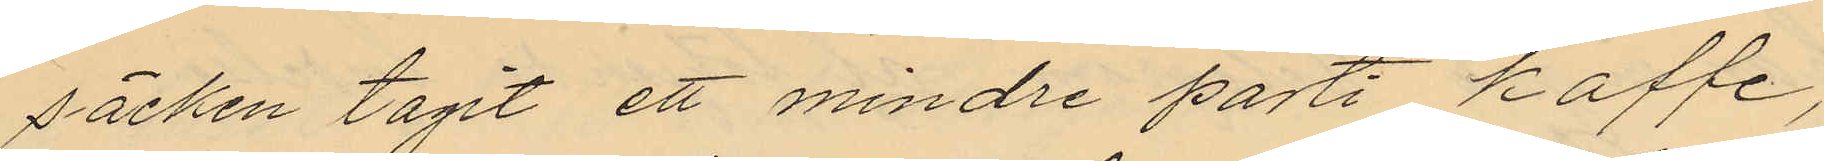säcken tagit ett mindre parti kaffe,
